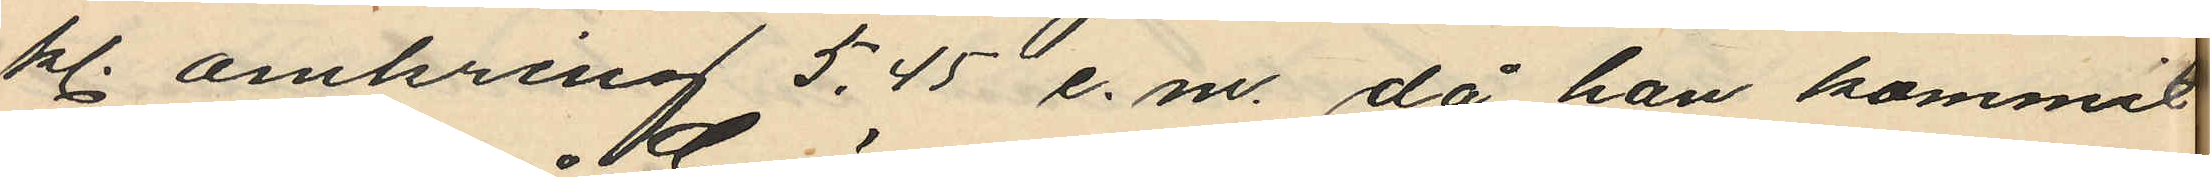kl. omkring 5.45 e.m., då han kommit
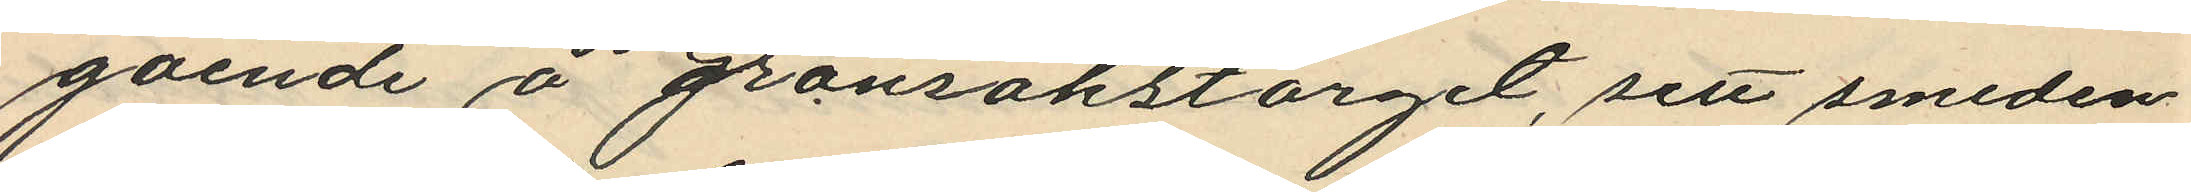gående å Grönsakstorget, sett smeden
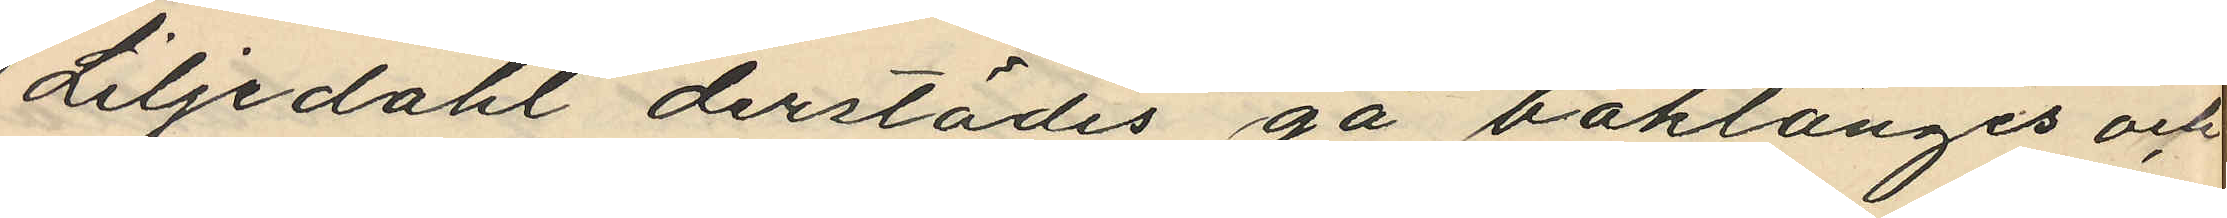Liljedahl derstädes gå baklänges och
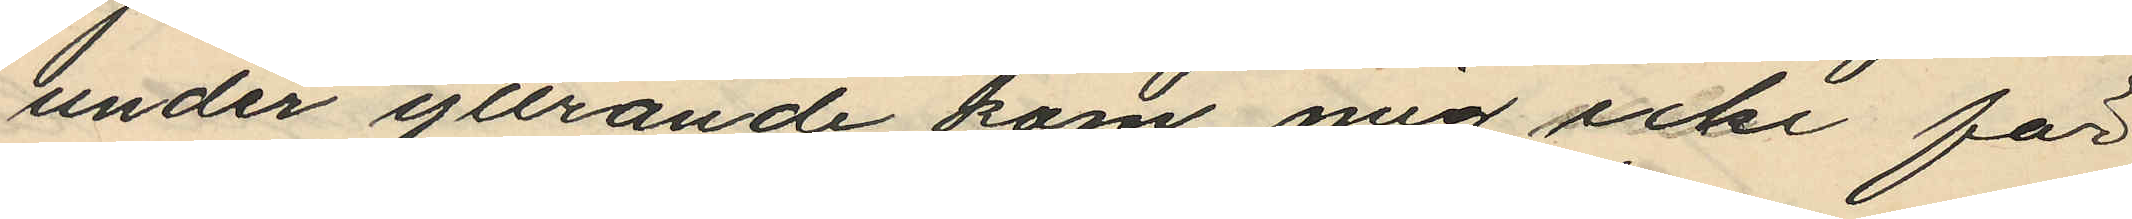under yttrande "kom mig icke för
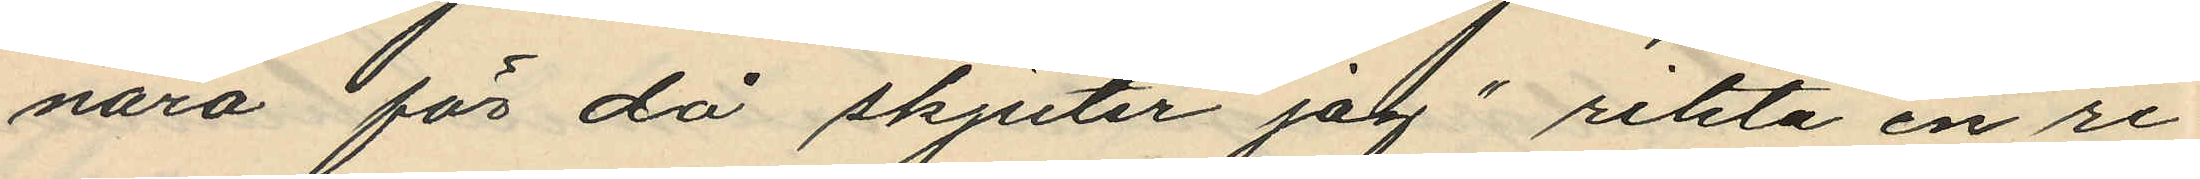nära för då skjuter jag" rikta en re¬
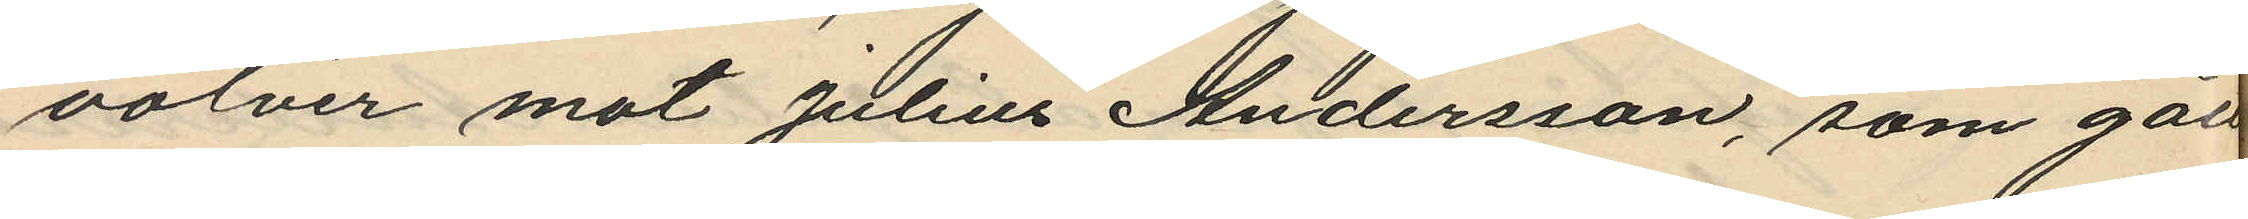volver mot Julius Andersson, som gått
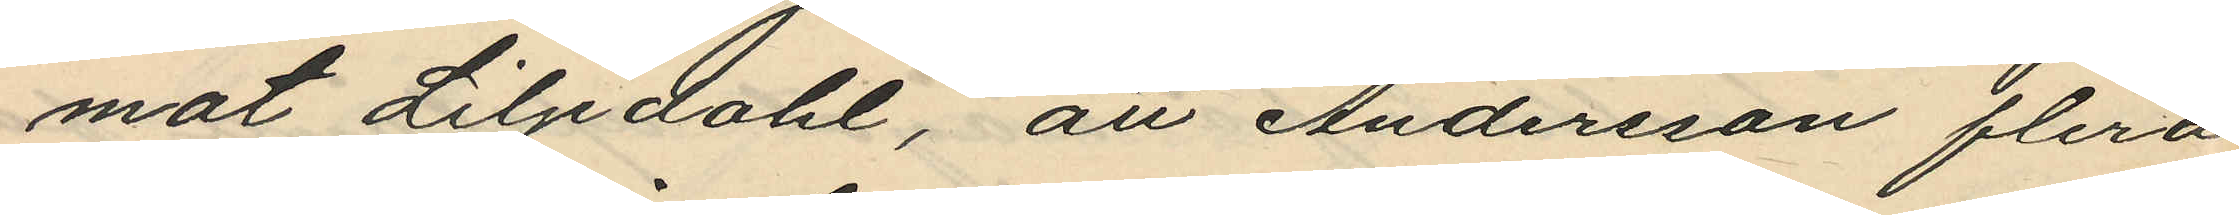mot Liljedahl, att Andersson flera
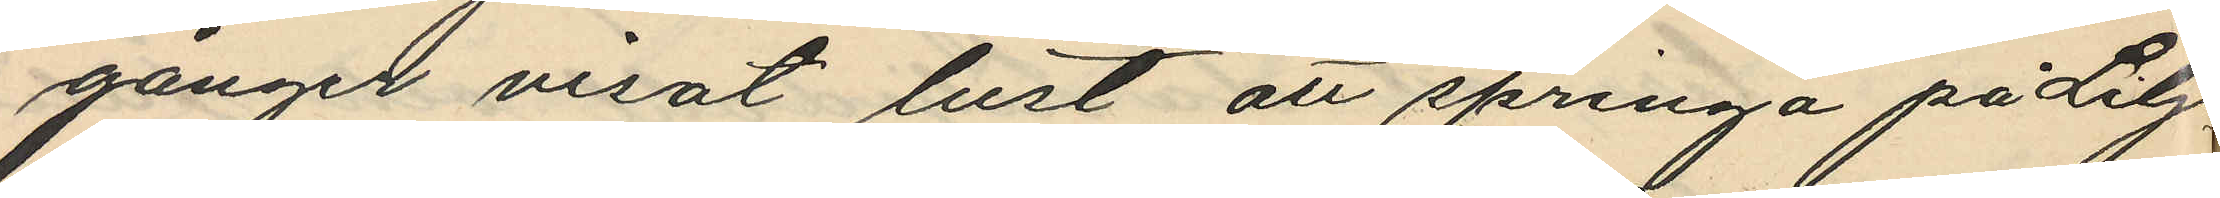gånger visat lust att springa på Lilje
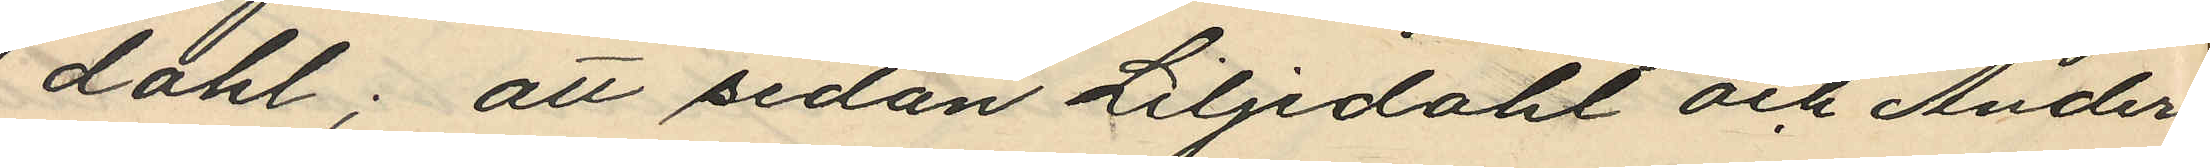dahl; att sedan Liljedahl och Anders
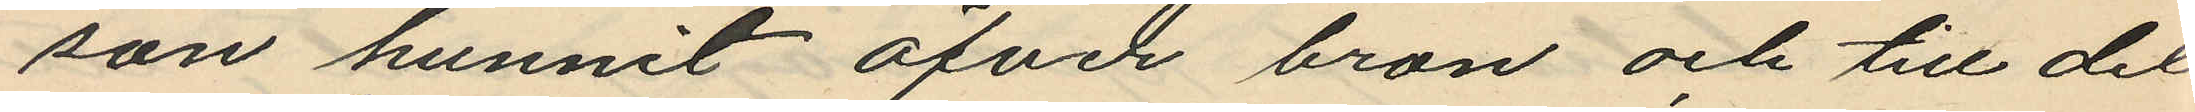son hunnit öfver bron och till det
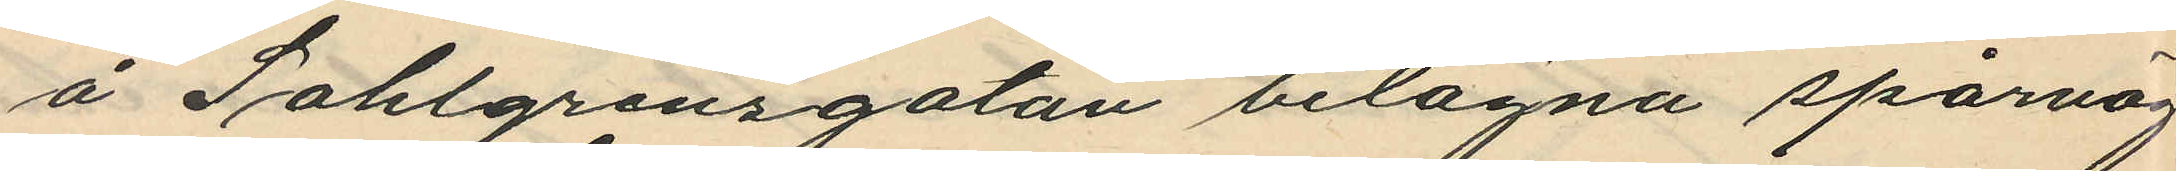å Sahlgrensgatan belägna spårväg
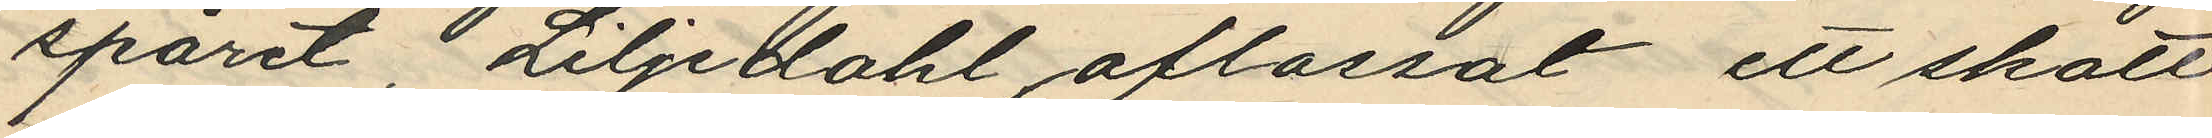spåret, Liljedahl aflossat ett skott
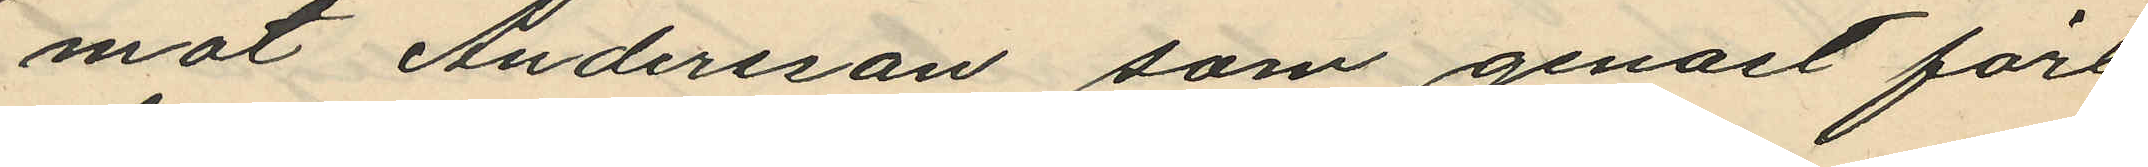mot Andersson som genast fört
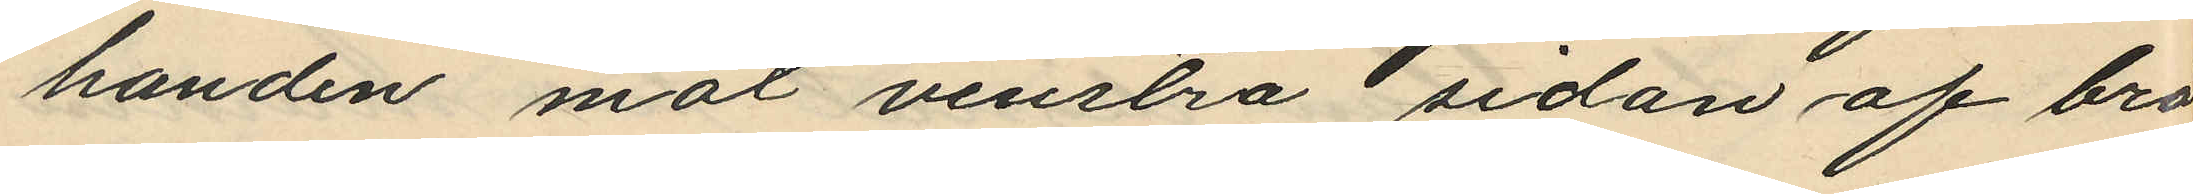handen mot venstra sidan af bro
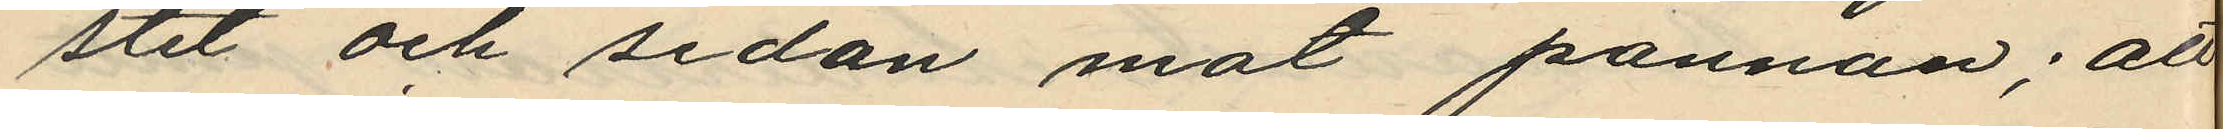stet och sedan mot pannan; att
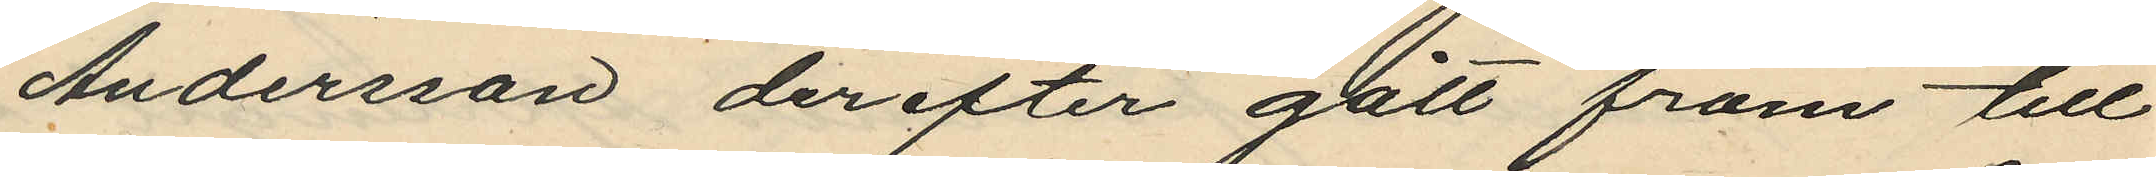Andersson derefter gått fram till
